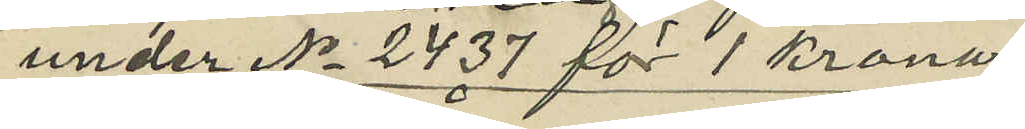under No 2437 för 1 krona
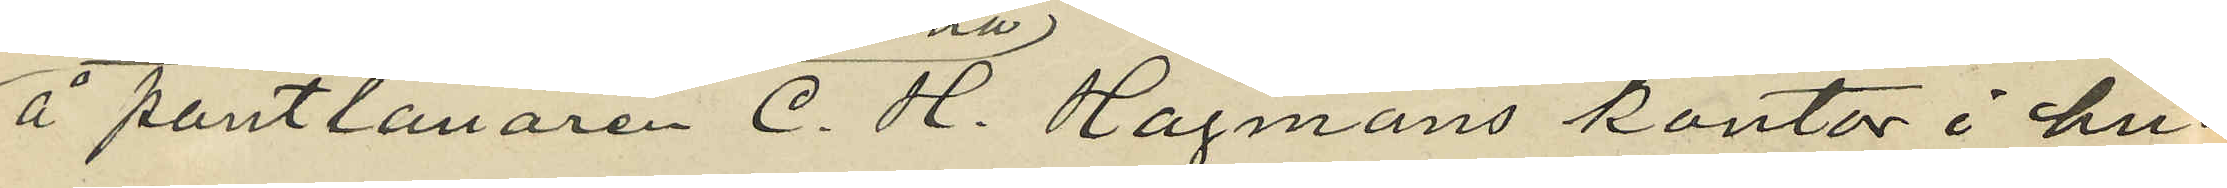å pantlånaren C. H. Hagmans kontor i hu¬
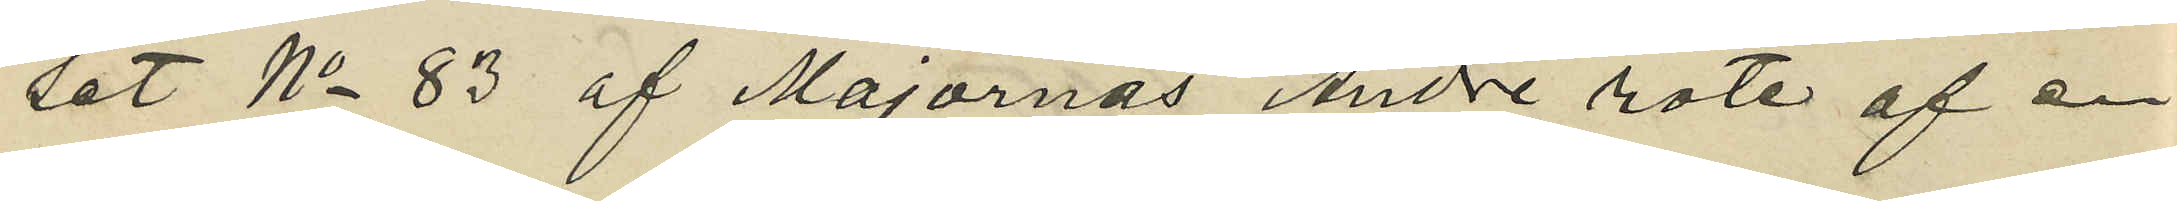set No 83 af Majornas Andre rote af en
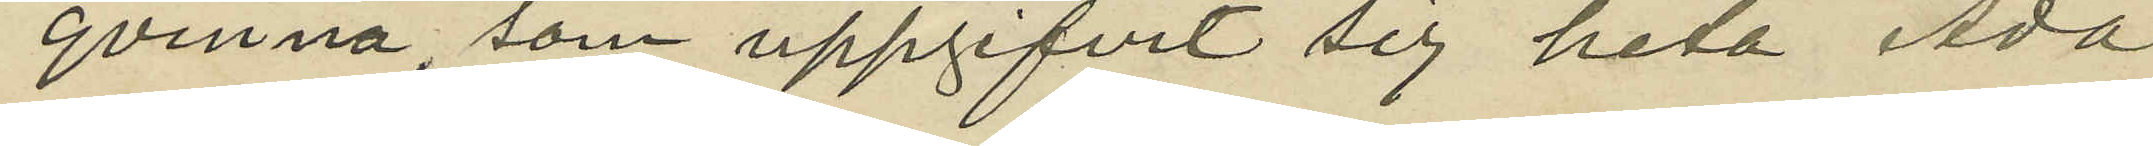qvinna som uppgifvit sig heta Ada
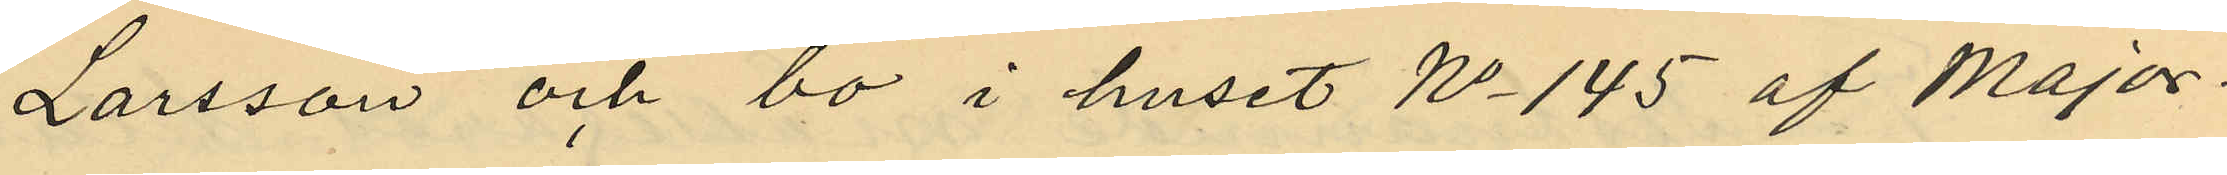Larsson och bo i huset No 145 af Major¬
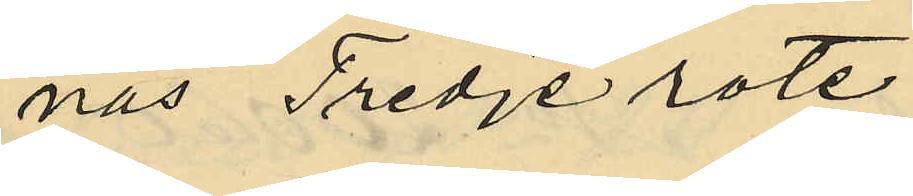nas Tredje rote;
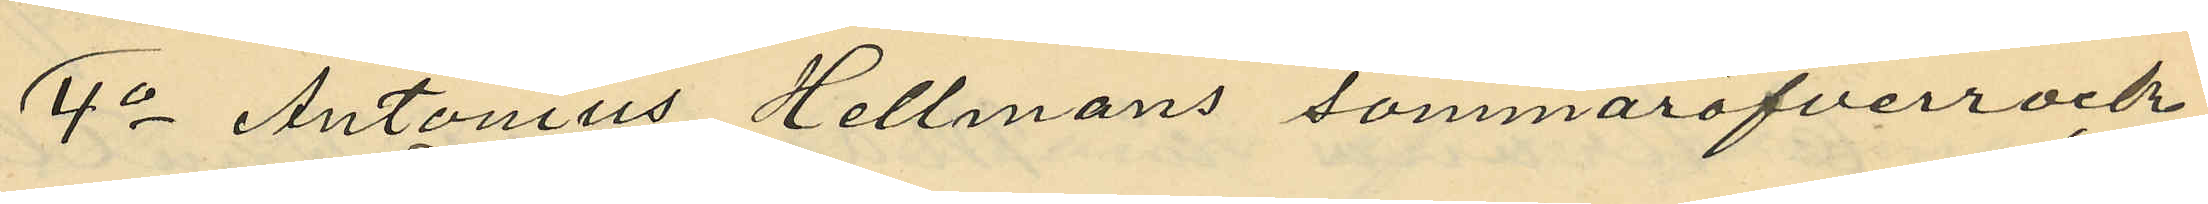4o Antonius Hellmans sommaröfverrock
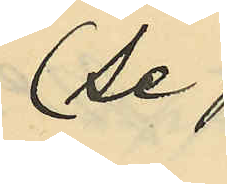(se
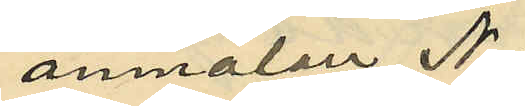anmälan No
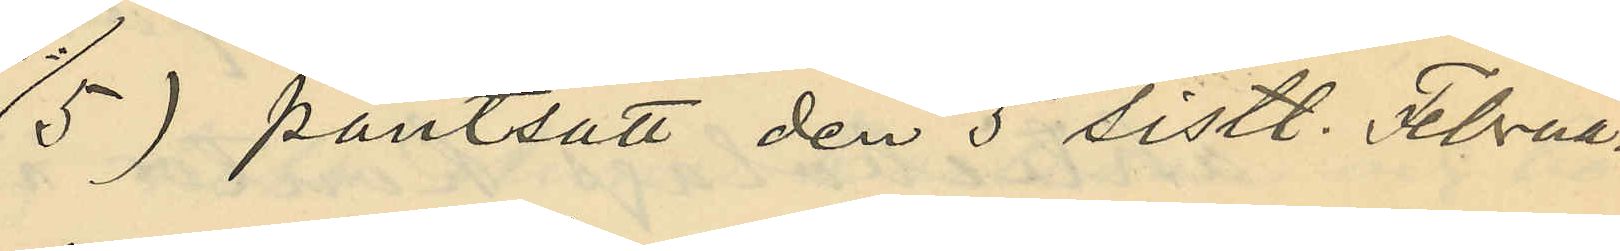5) pantsatt den 5 sistl. Februa¬
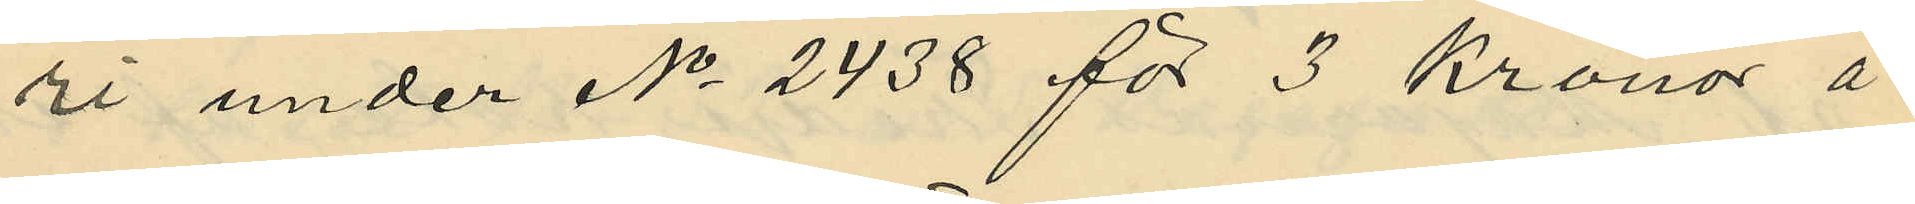ri under No 2438 för 3 kronor å
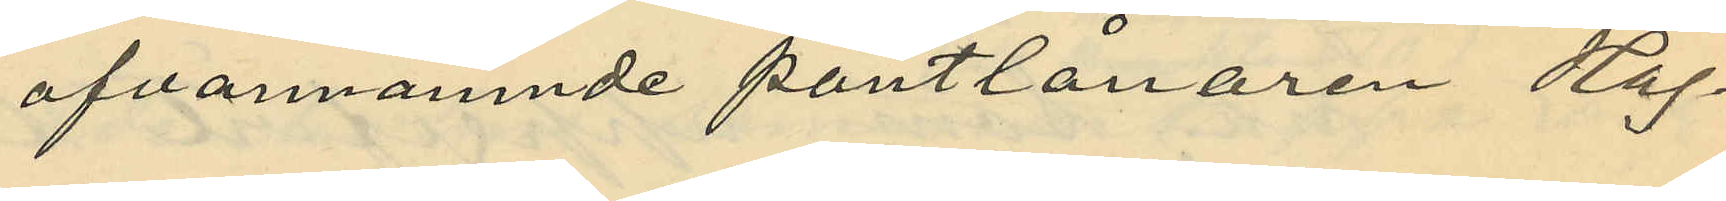ofvannämnde pantlånaren Hof¬
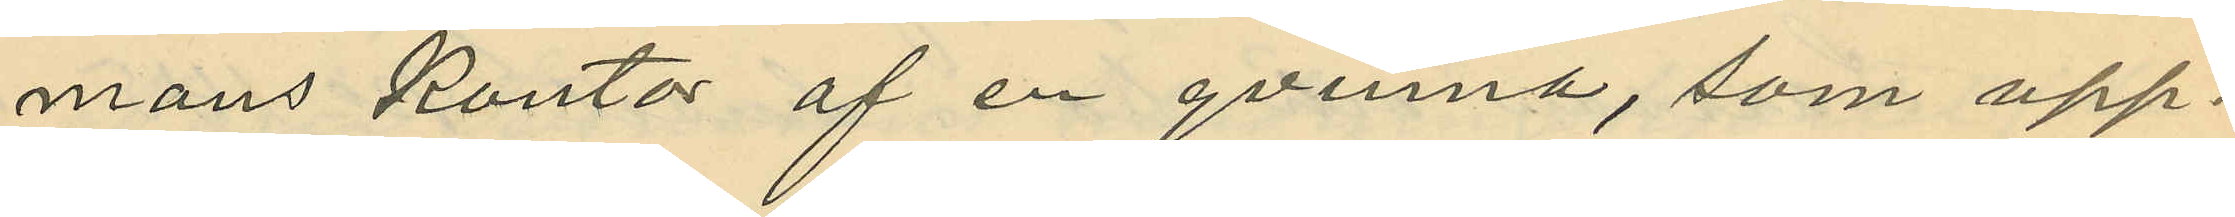mans kontor af en qvinna, som upp¬
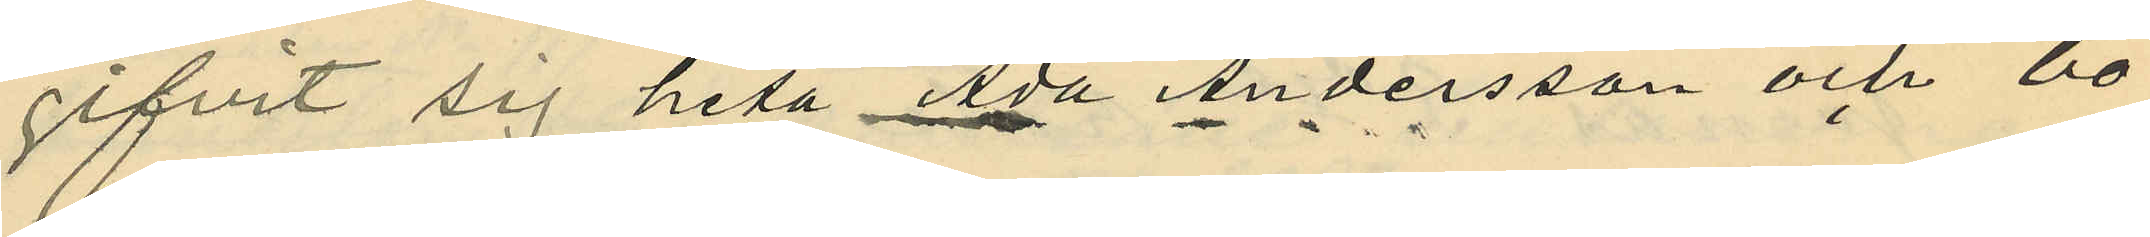gifvit sig heta Ada Andersson och bo¬
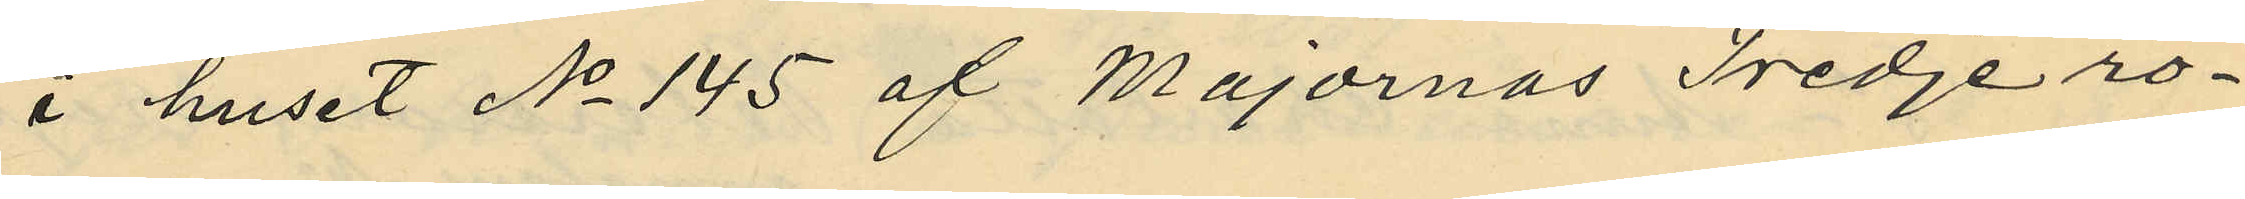i huset No 145 af Majornas Tredje ro¬
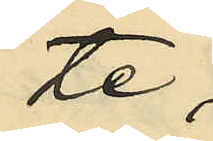te;
